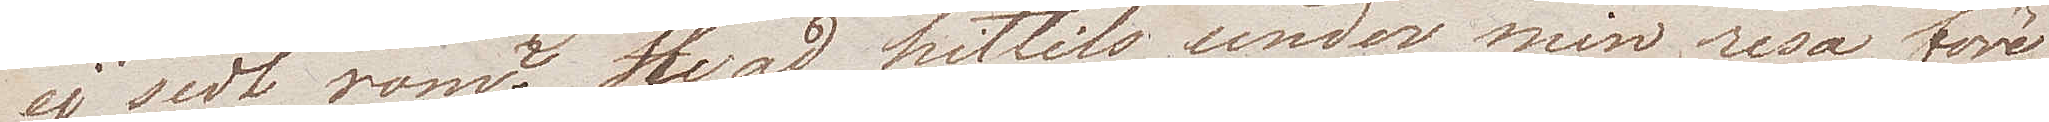ej sedt rom? Hvad hittills under min resa före¬
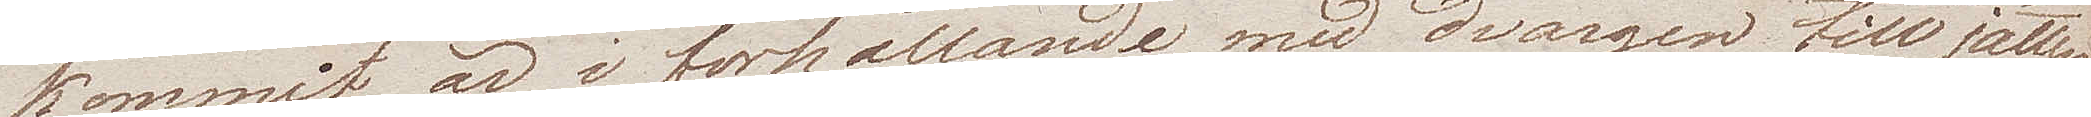kommit är i förhållande med dvärgen till jätten,
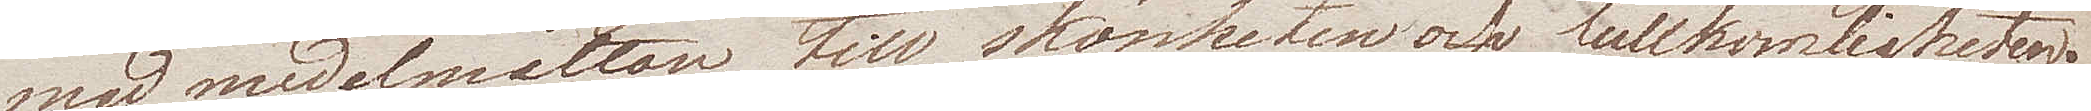med medelmåttan till skönheten och fullkomligheten.
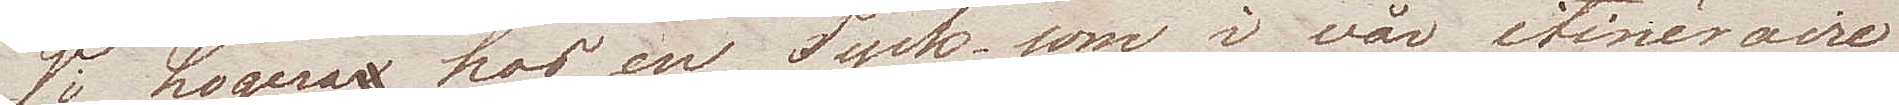Vi logera hos en Tysk som i vår itineraire
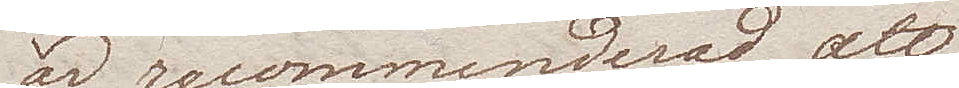är recommenderad, att
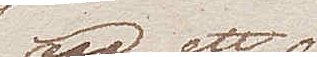äga ett
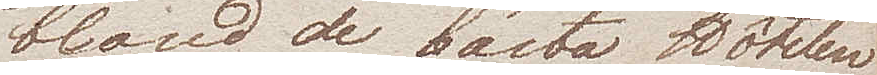bland de bästa Hôtelen
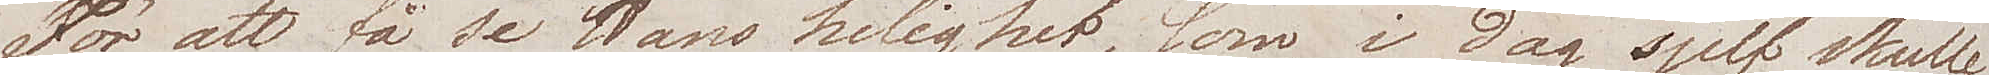För att få se Hans helighet, som i dag sjelf skulle
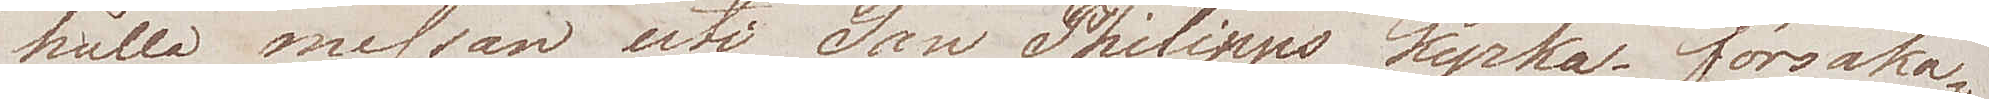hålla messan uti San Philipps kyrka, försaka¬
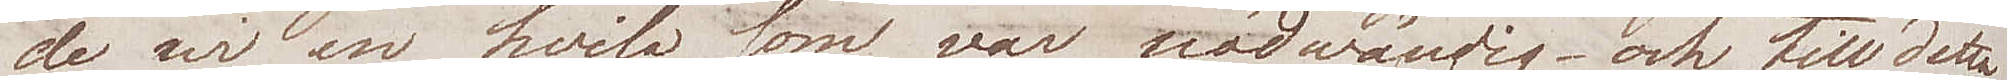de wi en hvila som var nödvändig – och till detta
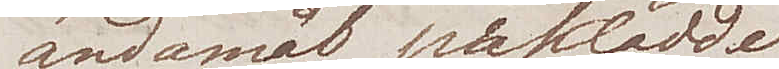ändamål påklädde
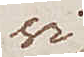wi
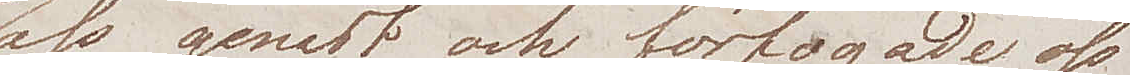oss genast och förfogade oss
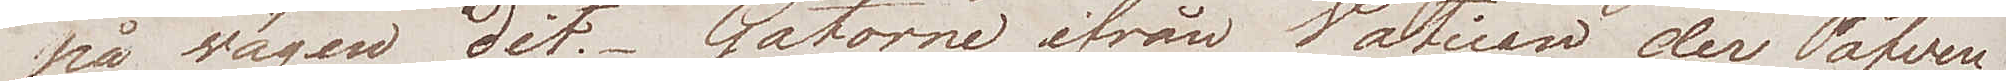på wägen dit. Gatorne ifrån Vatican der Påfven
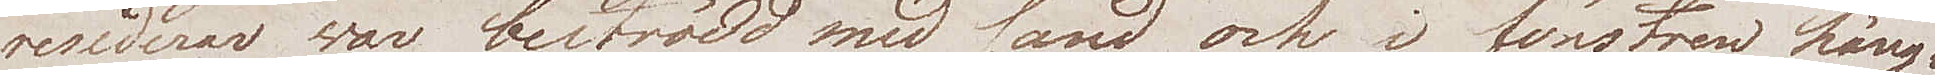residerar, war beströdd med sand och i fönstren häng¬
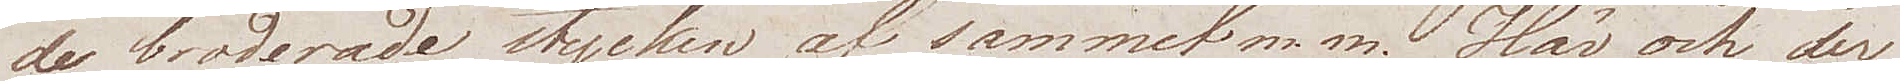de broderade stycken af sammet m.m. Här och der
